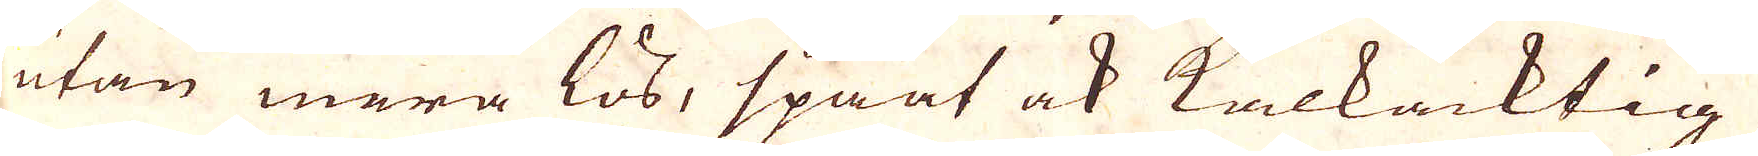utan mera lös, spaat ock kalkacktig,
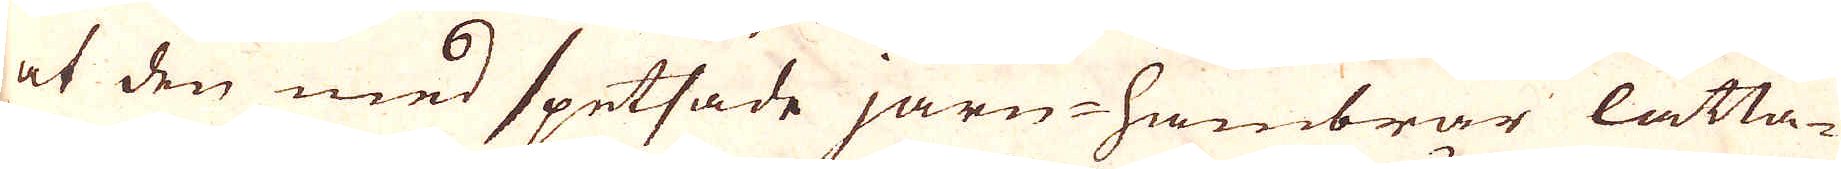at den med spetsade järn-hambror lätta-
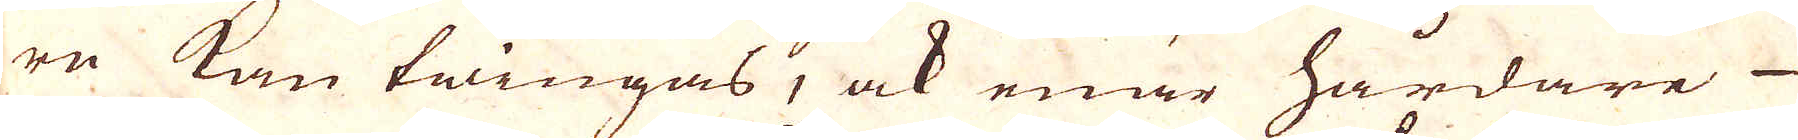re kan twingas, ock enär hårdare
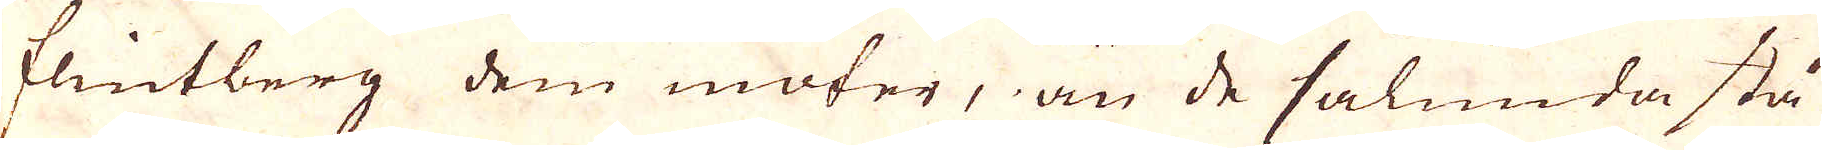flintberg dem möter, än de sålunda stå
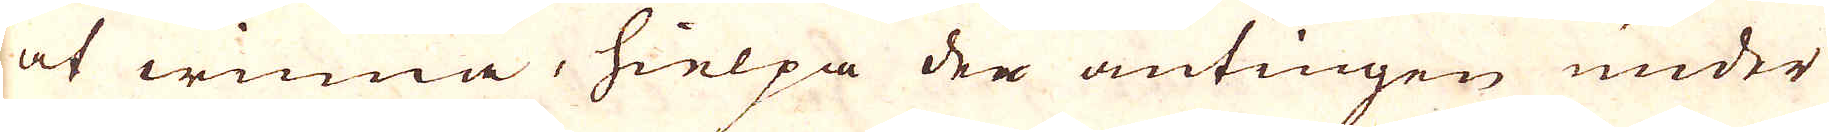at winna, hielpa den antingen under
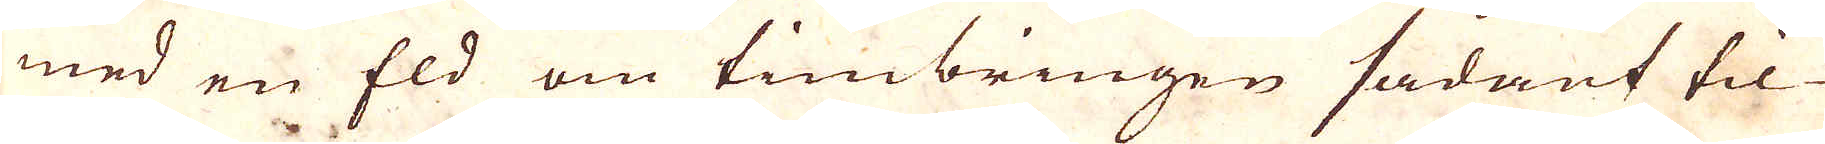med en Eld om timbringen sådant til-
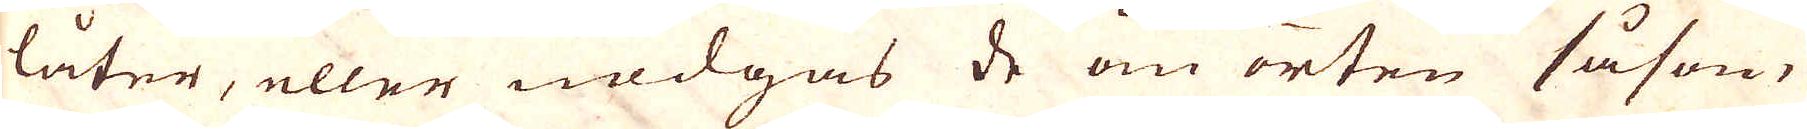låter, eller nödgas de om orten såsom
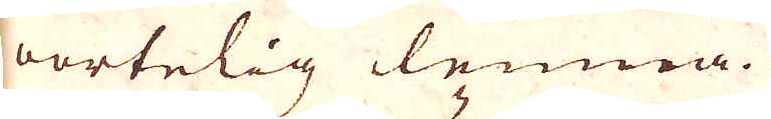oartelig lemna.
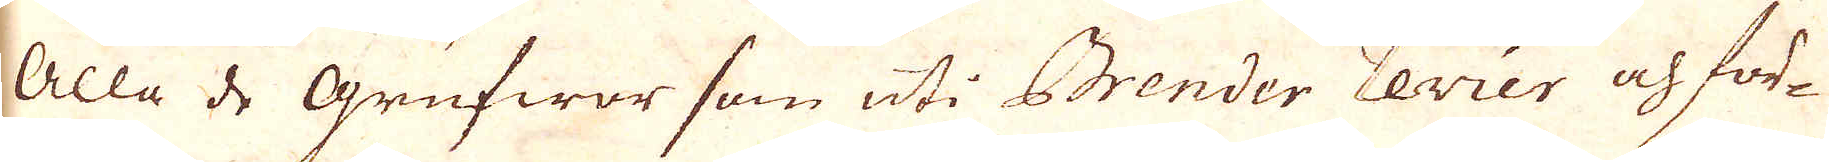Alla de Grufwor som uti Brender revier och för-
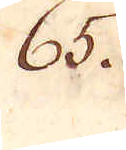65.
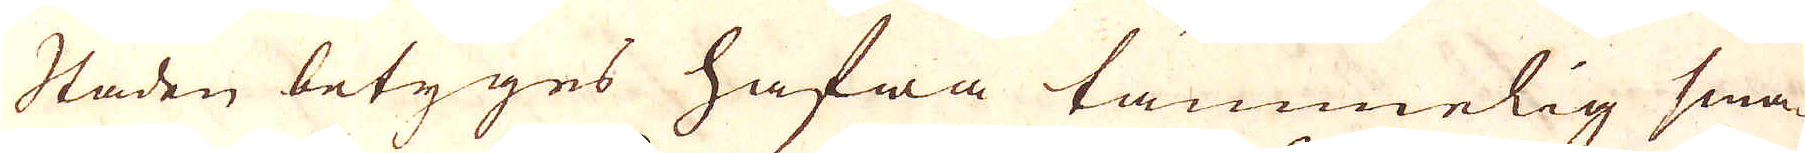Staden betyges hafwa tämmelig sma-
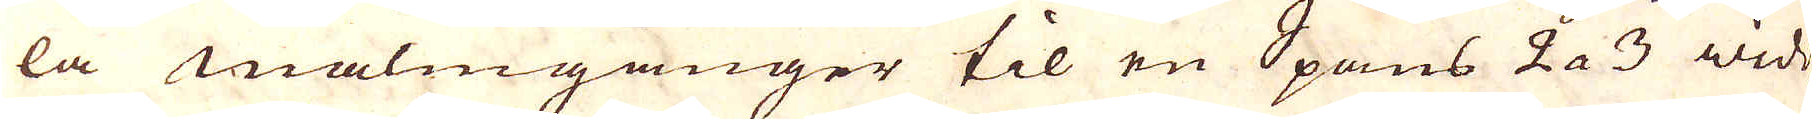la malmgånger til en Spans 2 a 3 widd
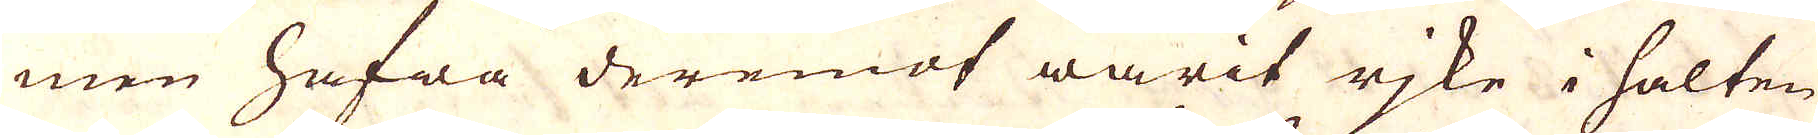men hafwa deremot warit rike i halten
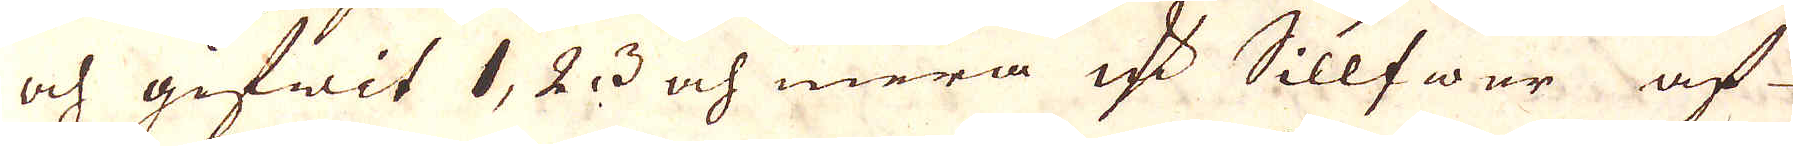och gifwit 1, 2, 3 och mera marker Sillfwer af
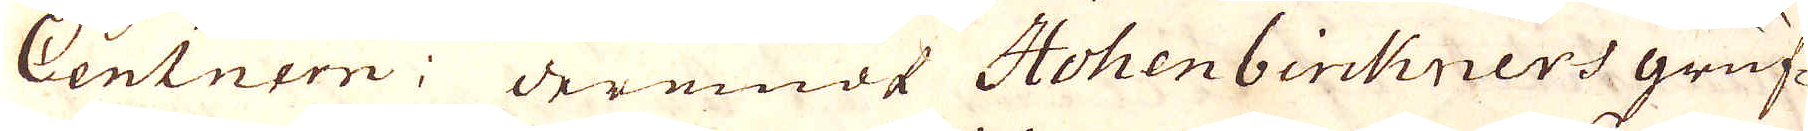Centnern: deremodt Hohenbirkners gruf-
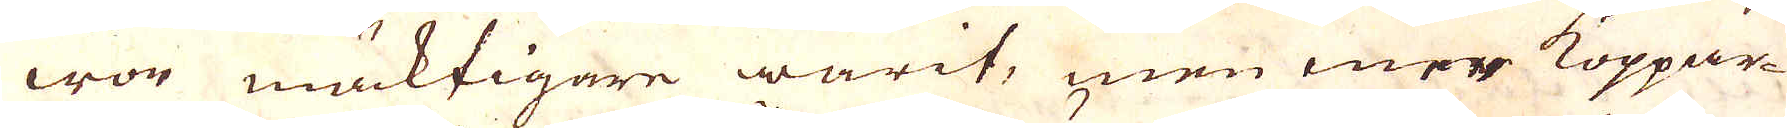wor mäktigare warit, men mer Koppar
